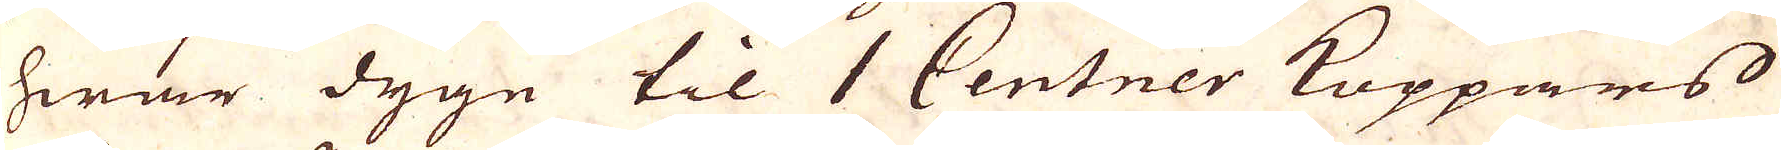hwar dygn til 1 Centner Koppars
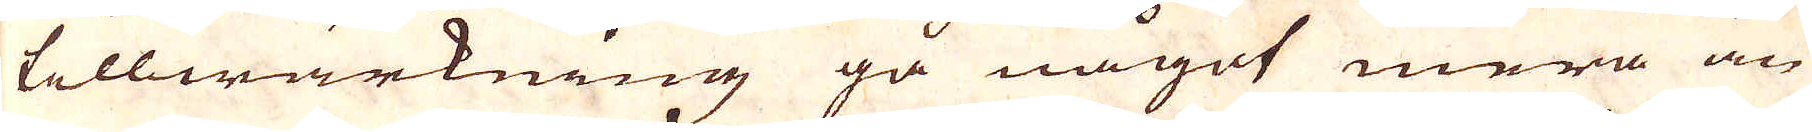tillwärkning gå något mera än
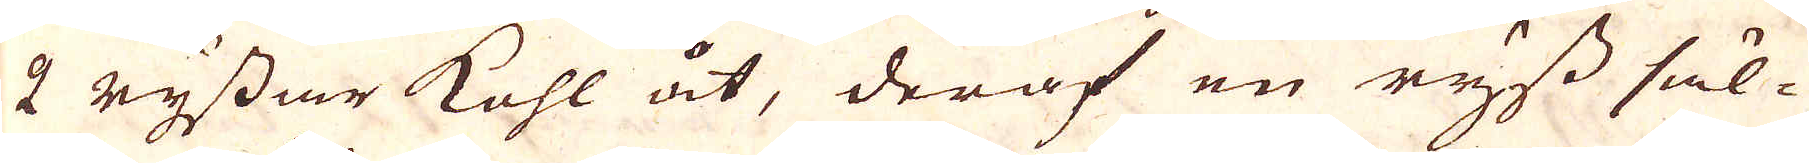2 ryssar kohl åt, deraf en ryss säl-
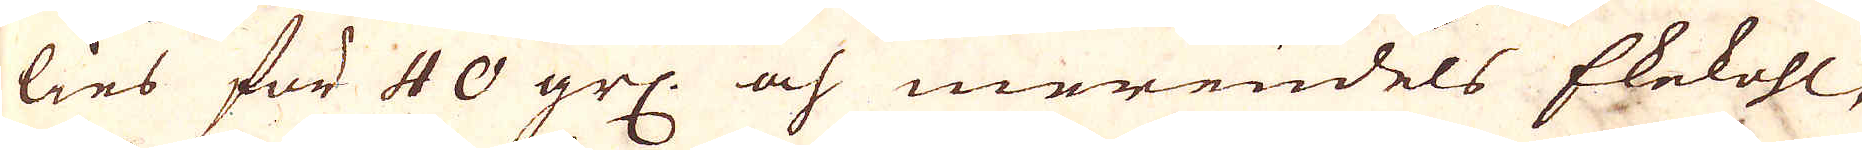lies för 40 grl: och merendels Ekekohl,
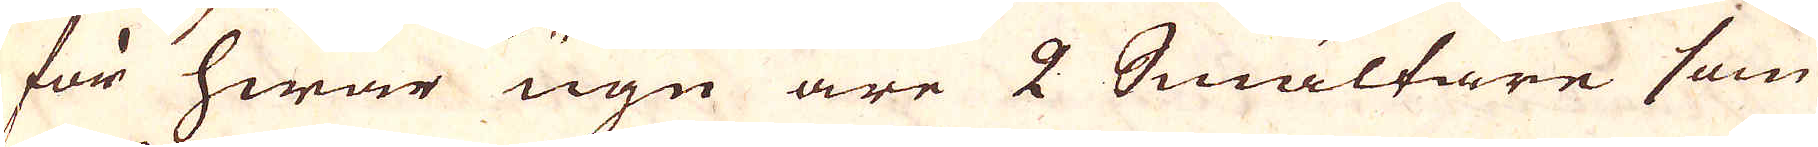för hwar ugn äre 2 Smältare som
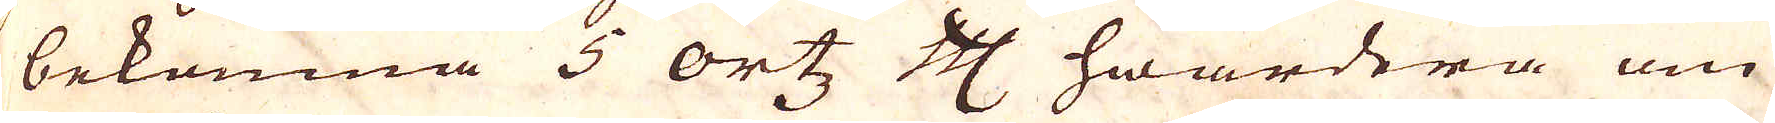bekomna 5 ortz Cologne Mark hwardera om
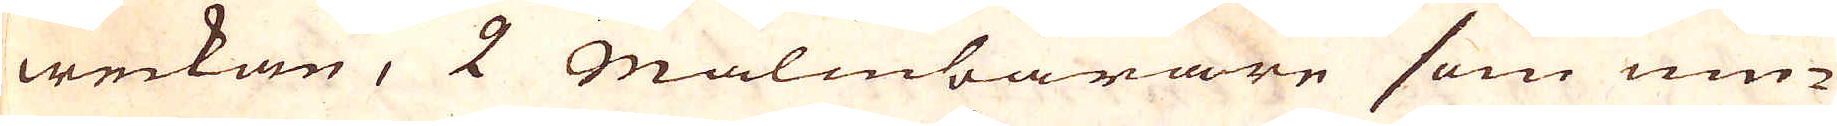weckan, 2 Malmbärare som niu-
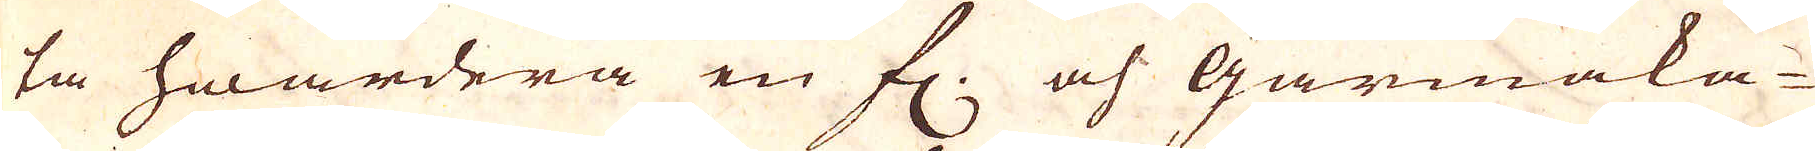ta hwardera en fl: och gårmaka-
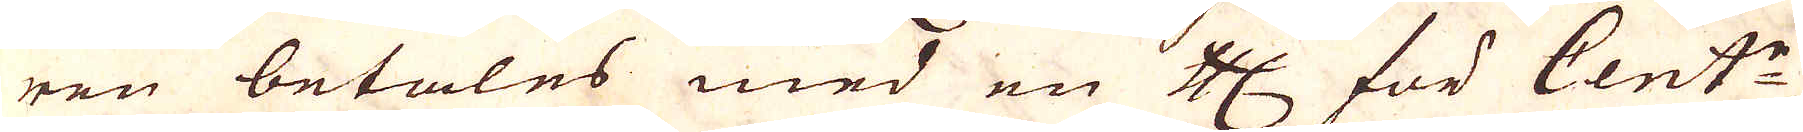ren betales med en Cologne Mark, för Cent:n,
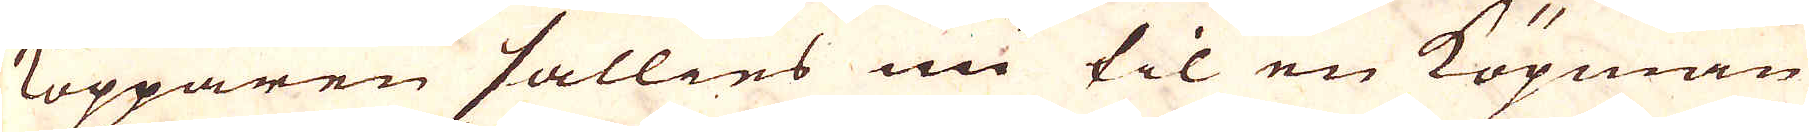Kopparen sällies nu til en Köpman
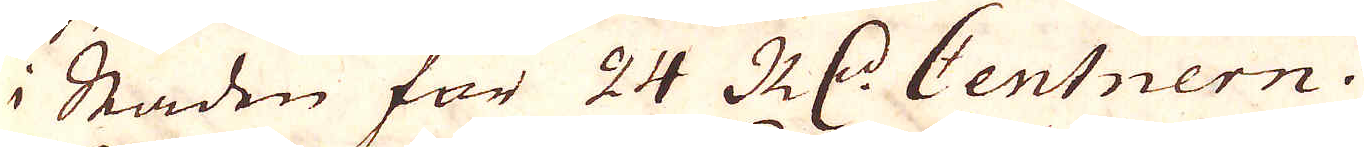i Staden för 24 R:dr Centnern.
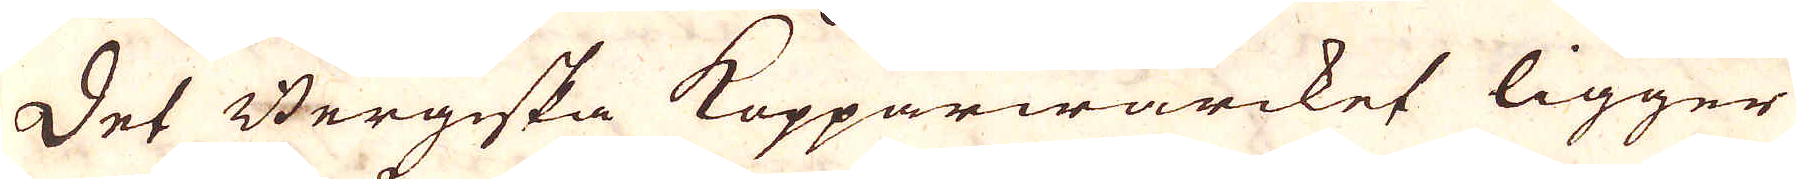Det Bergeska Kopparwärcket ligger
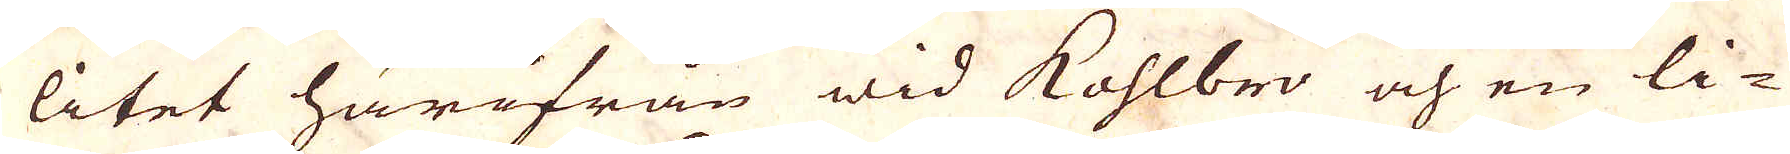litet härifrån wid Kohlbro och en li-
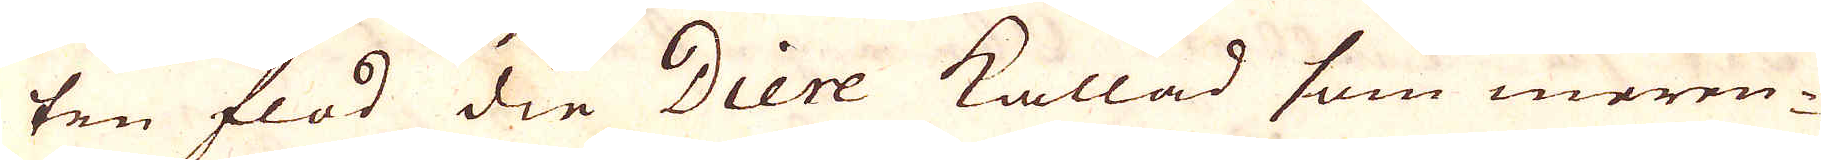ten flod die Diere kallad som meren-
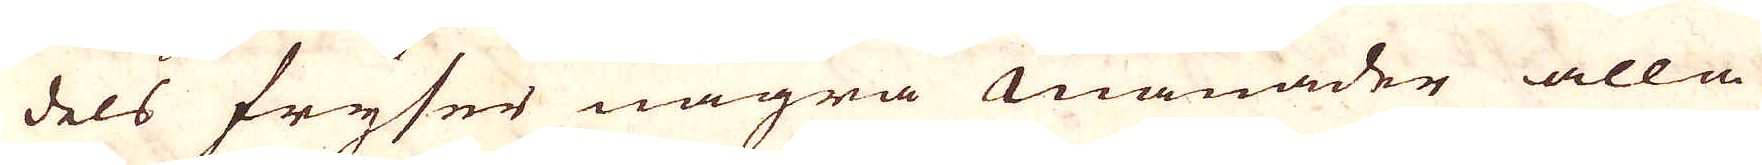dels fryser några månader alla
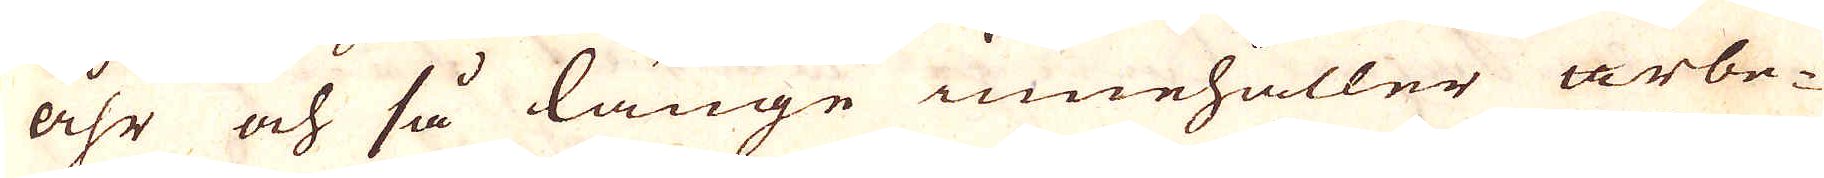åhr och så länge innehåller arbe-
